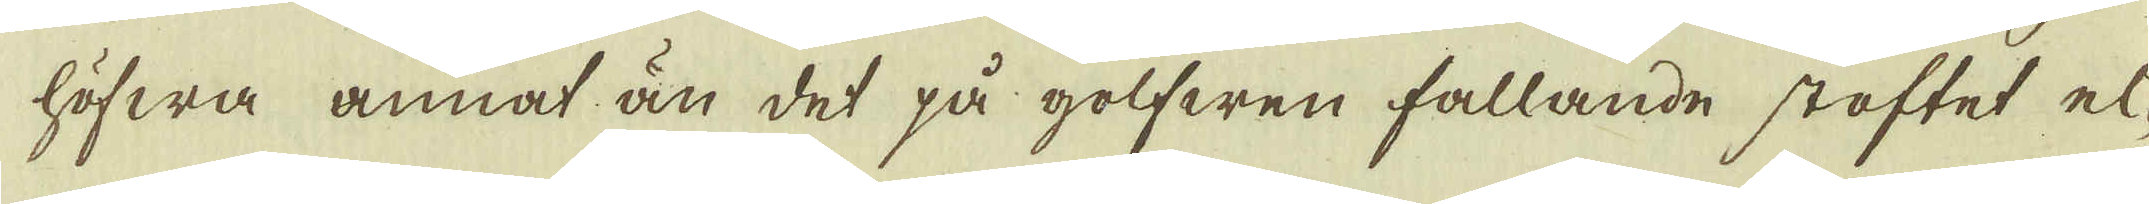höfwa annat än det på golfwen fallande stoftet el-
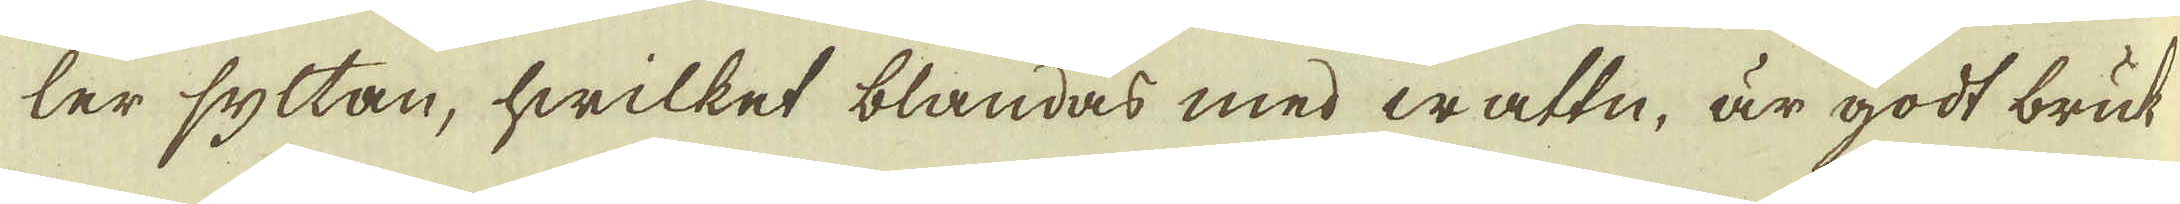ler syltan, hwilket blandas med wattn, är godt bruk
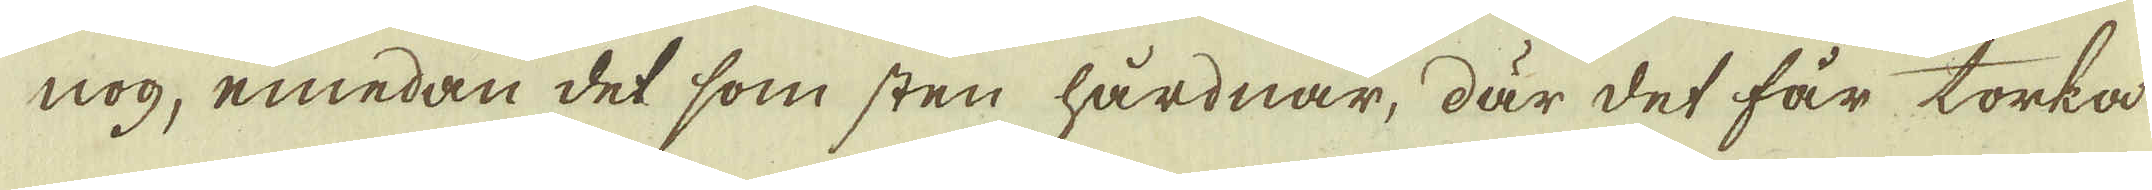nog, emedan det som sten hårdnar, där det får torka
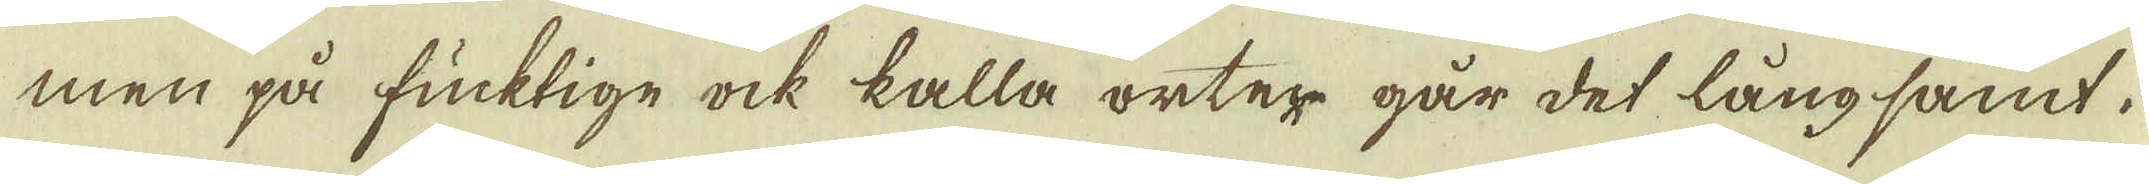men på fuktige ock kalla orter går det långsamt.
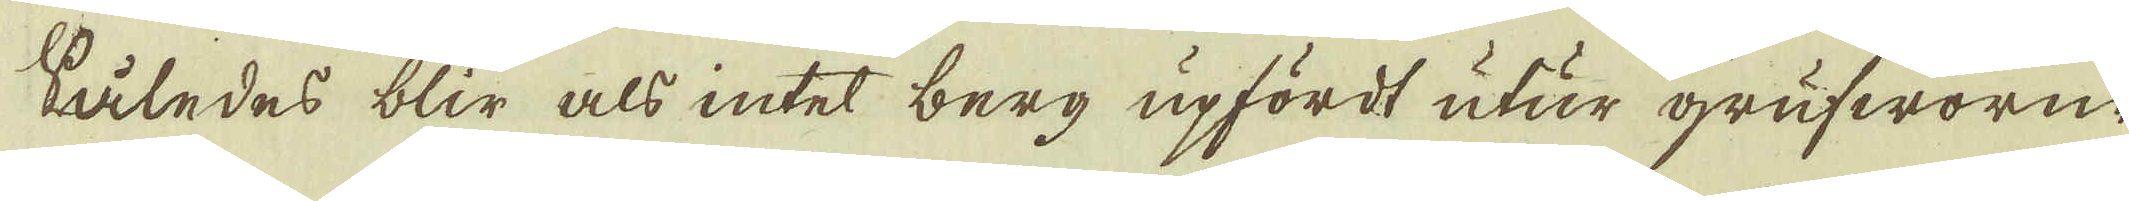Slåledes blir als intet berg upfördt utur grufworne
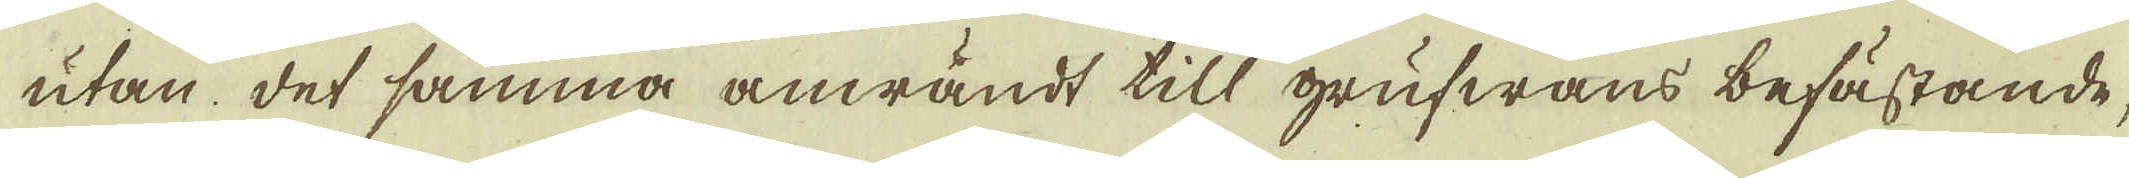utan det samma anwändt till grufwans befästande,
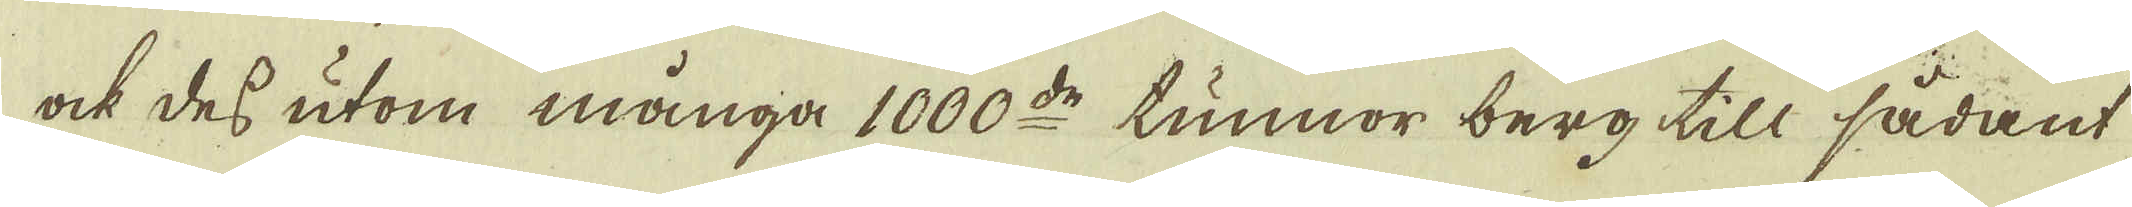ock des utom många 1000:de tunnor berg till sådant
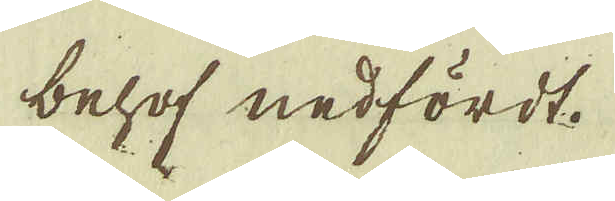behof nedfördt.
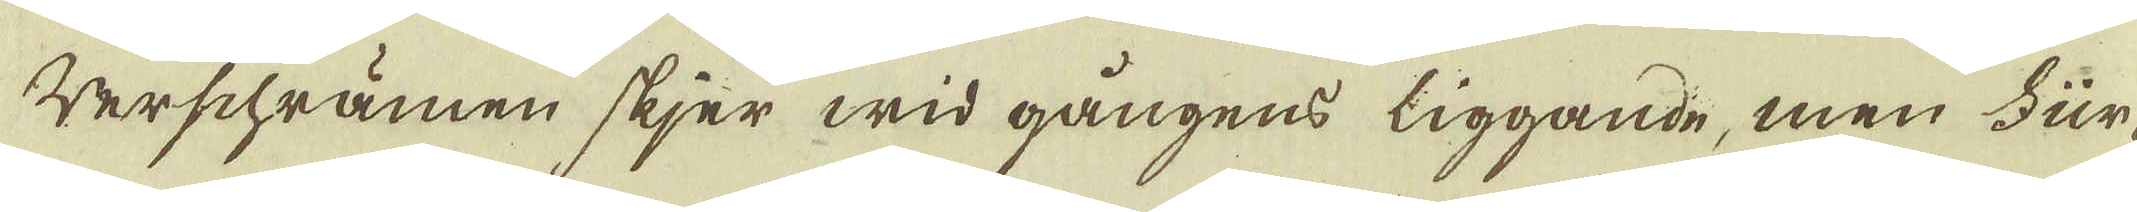Verschrämen skier wid gångens liggande, men Fur-
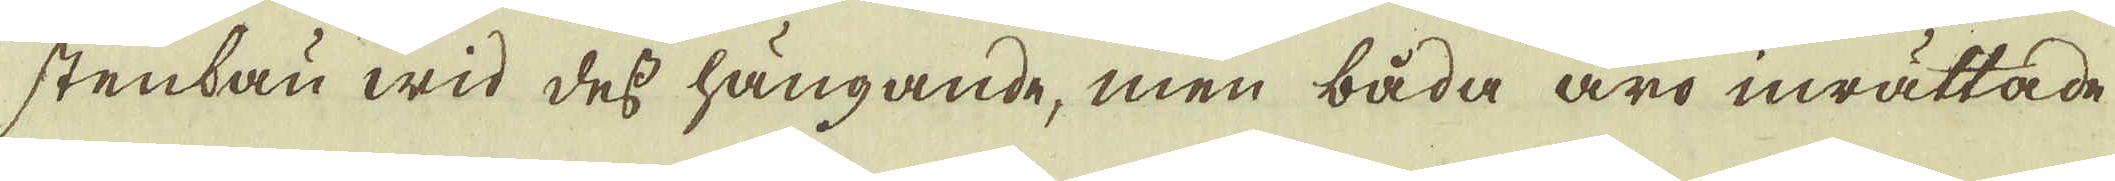stenbau wid des hängande, men båda äro inrättade
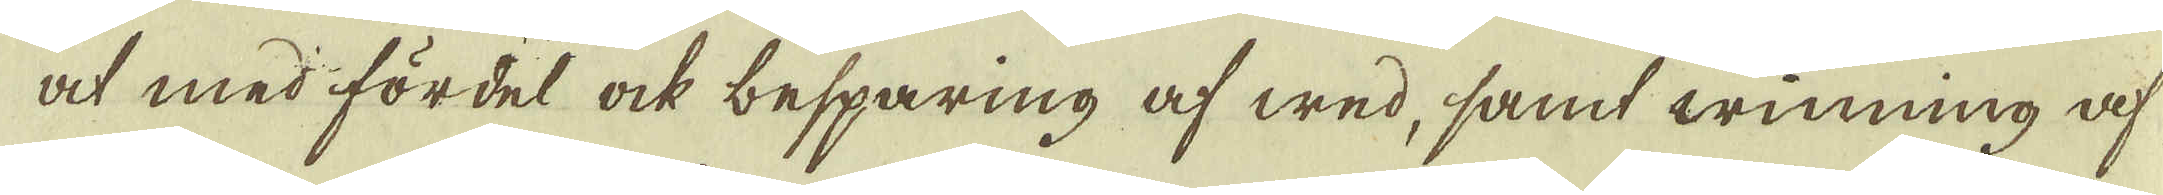at med fördel ock besparing af wed, samt winning af
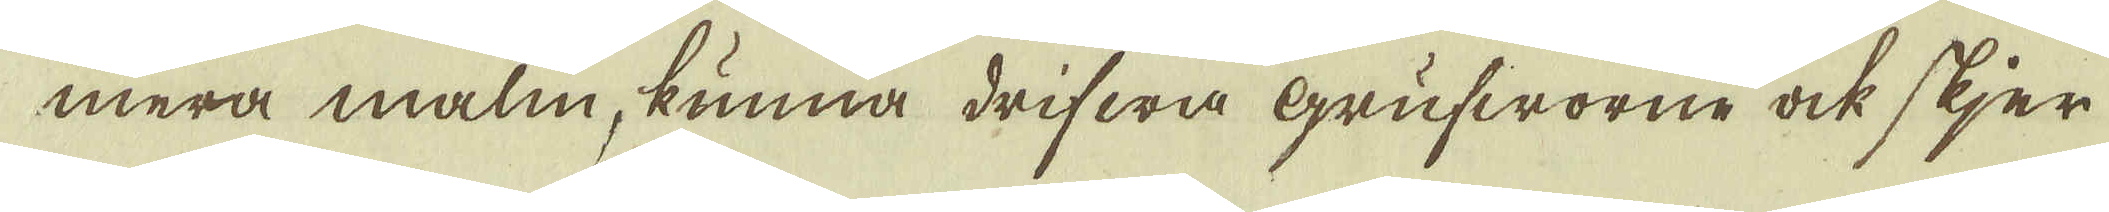mera malm, kunna drifwa grufworne ock skjer
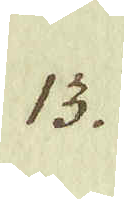13.
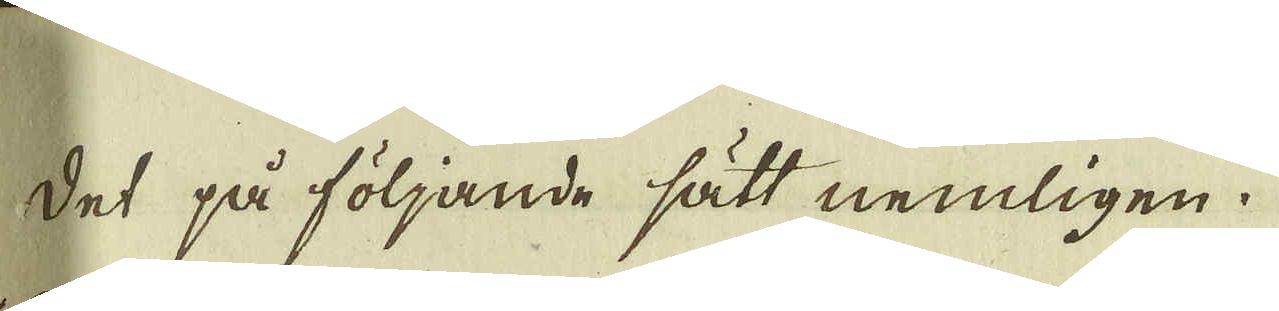det på följande sätt nemligen.
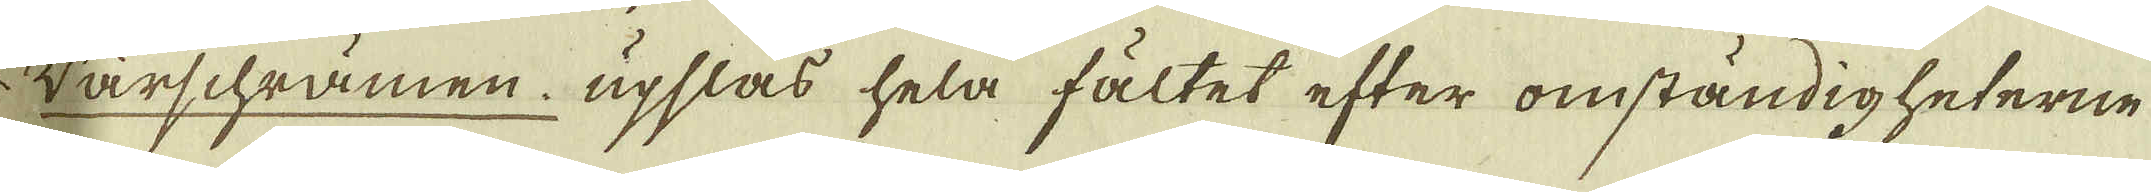* Värschrämen upslås hela fältet efter omständigheterne
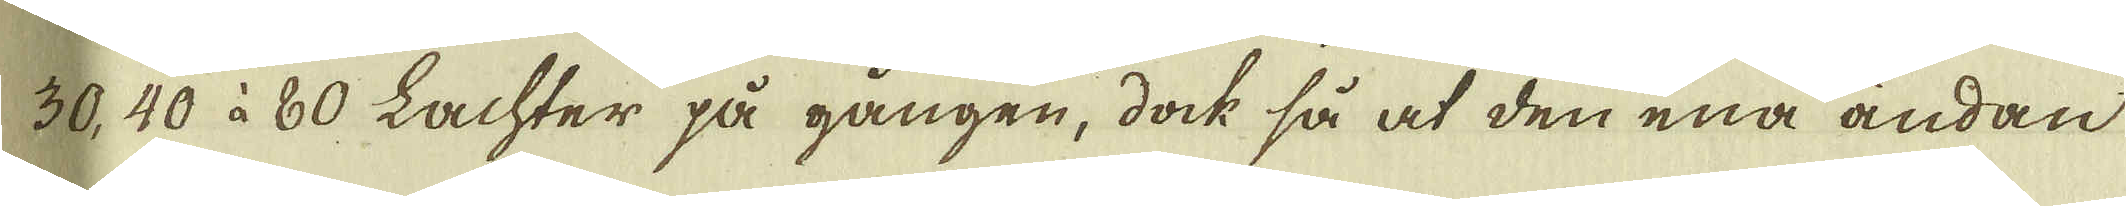30, 40 à 80 Lachter på gången, dock så at den ena ändan
